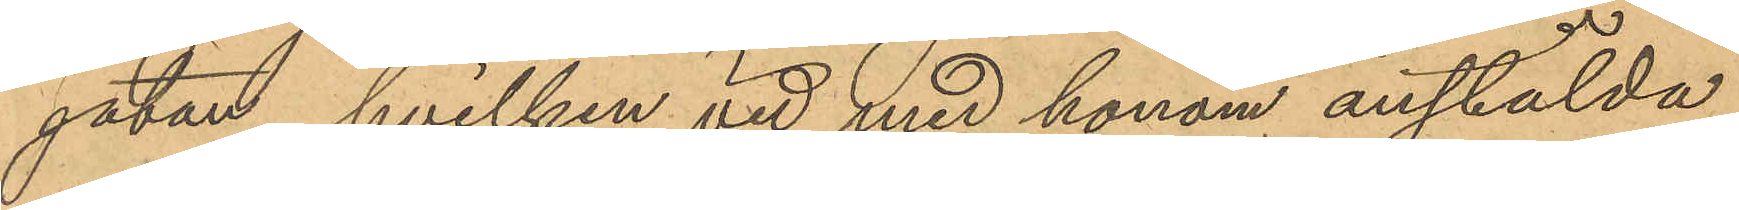gatan, hvilken vid med honom anstälda
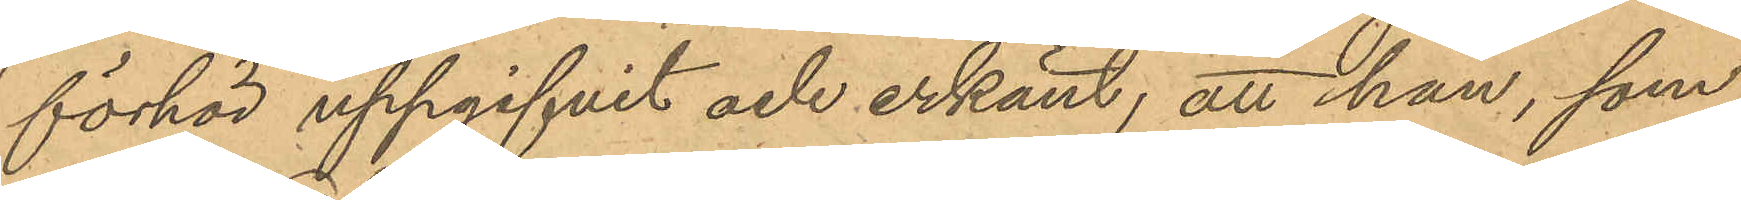förhör uppgifvit och erkänt, att han, som
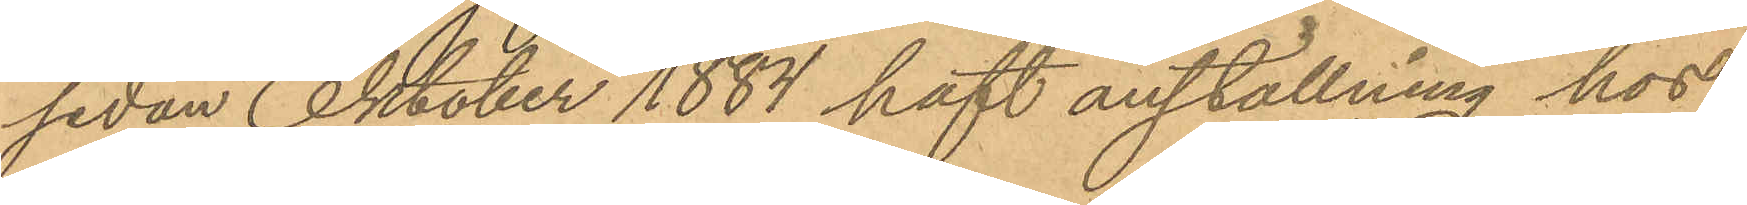sedan Oktober 1884 haft anställning hos
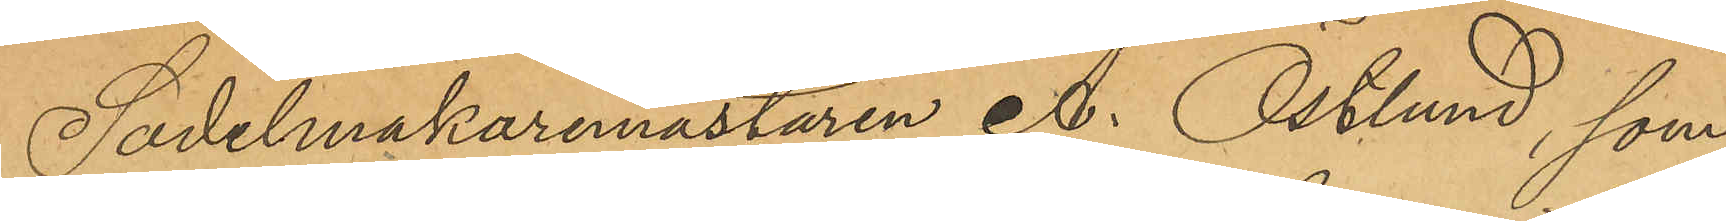Sadelmakaremästaren A. Östlund, som
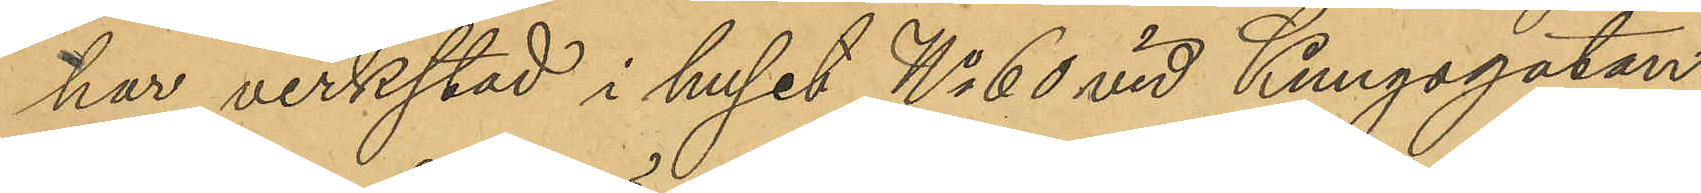har verkstad i huset No 60 vid Kungsgatan,
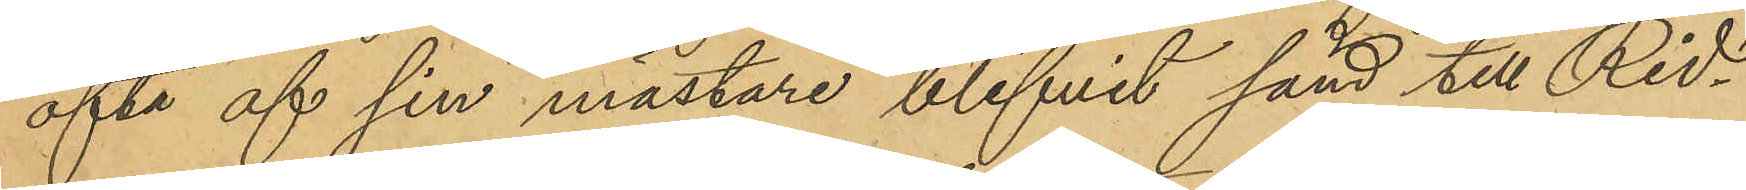ofta af sin mästare blifvit sänd till Rid¬
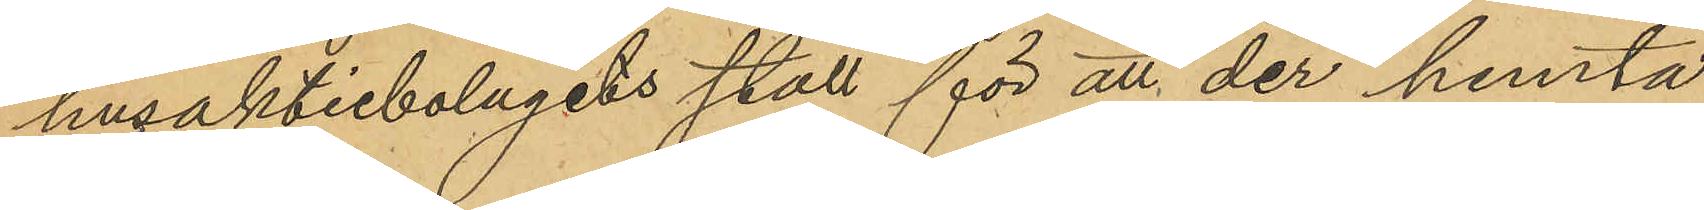husaktiebolagets stall för att der hemta
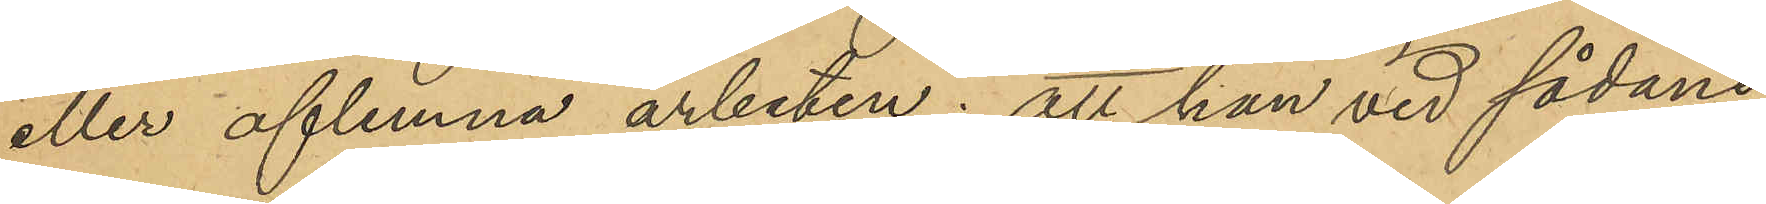eller aflemna arbeten; att han vid sådane
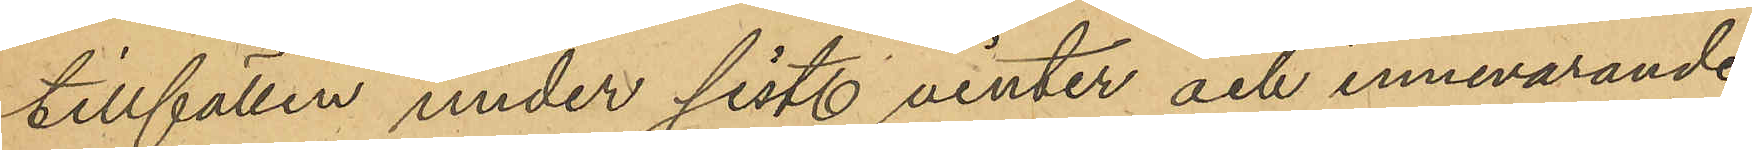tillfällen under sistl vinter och innevarande
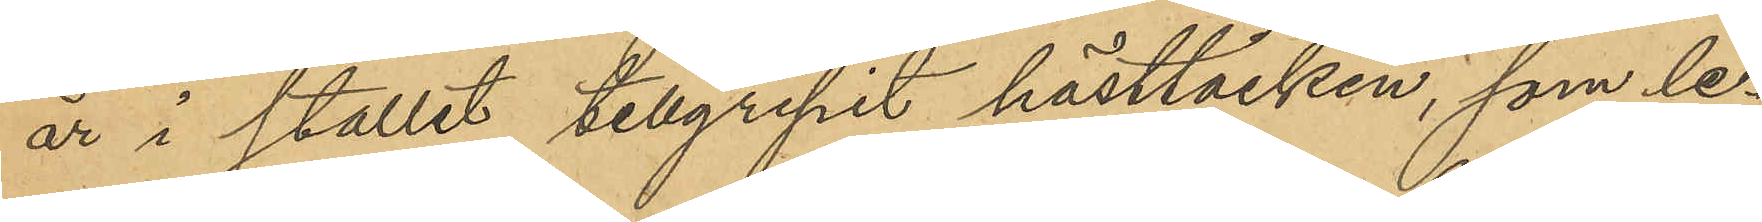år i stallet tillgripit hästtäcken, som le¬
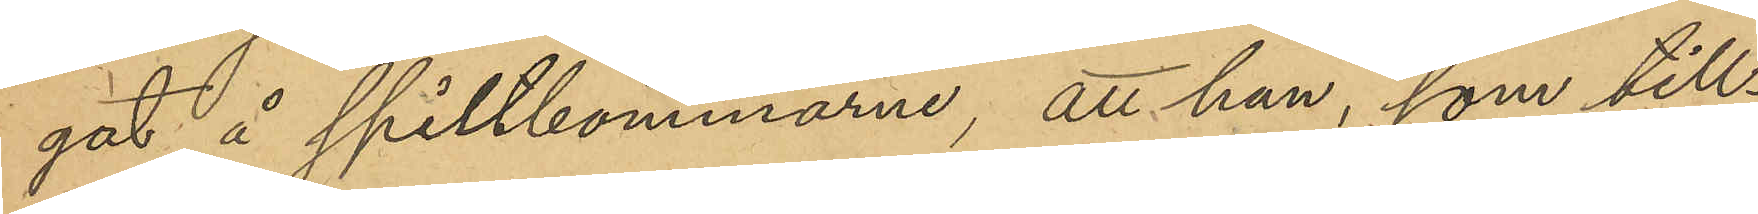gat å spiltbommarne, att han, som till¬
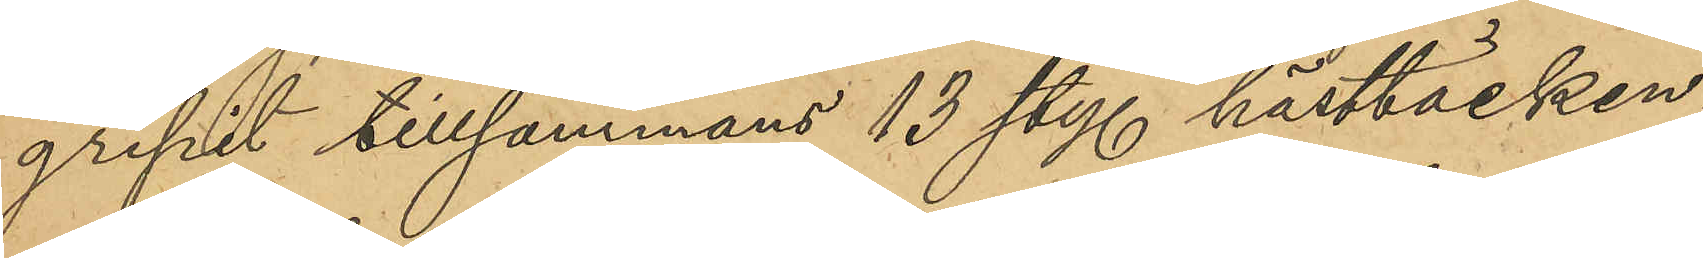gripit tillsammans 13 sty. hästtäcken,
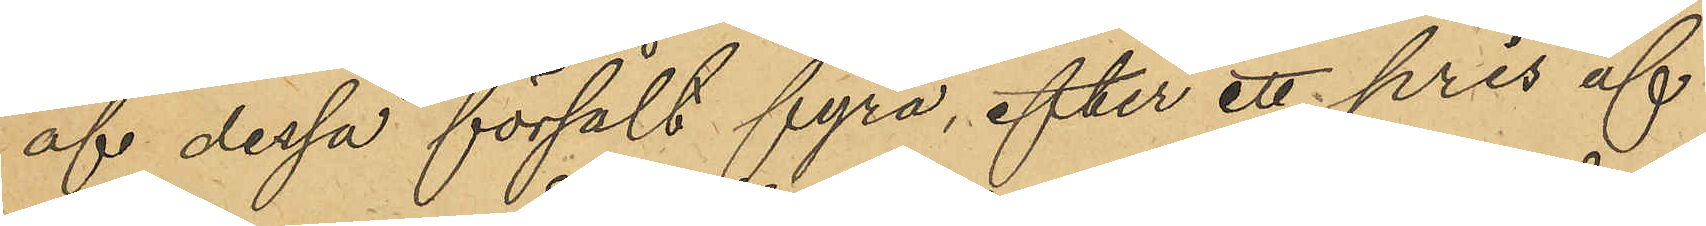af dessa försålt fyra, efter ett pris af
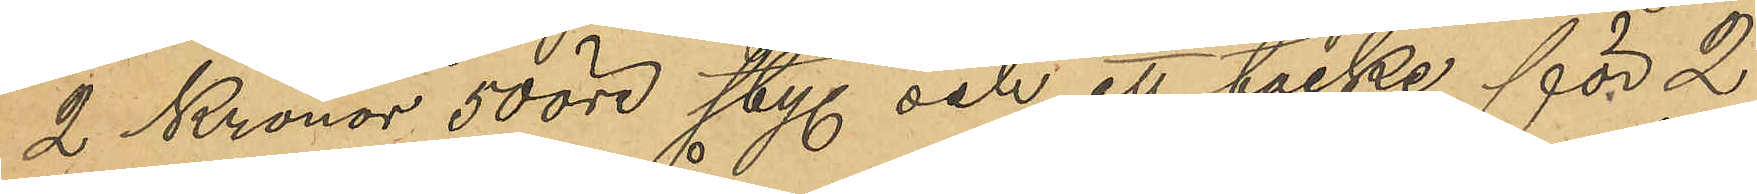2 Kronor 50 öre sty. och ett täcke för 2
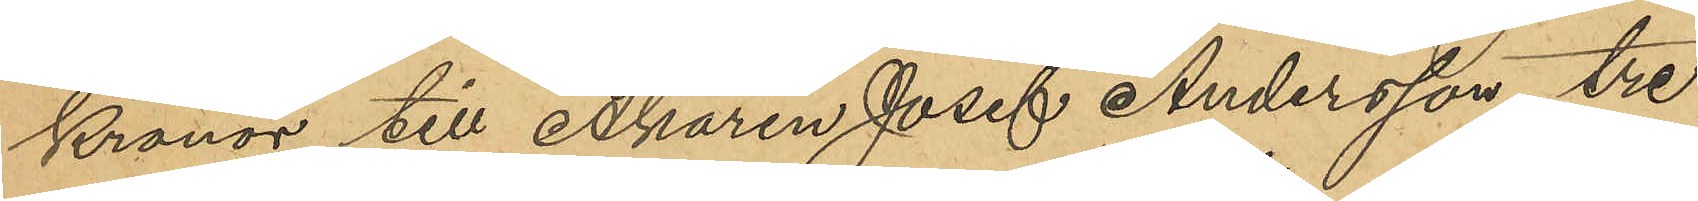Kronor till Åkaren Josef Andersson, tre
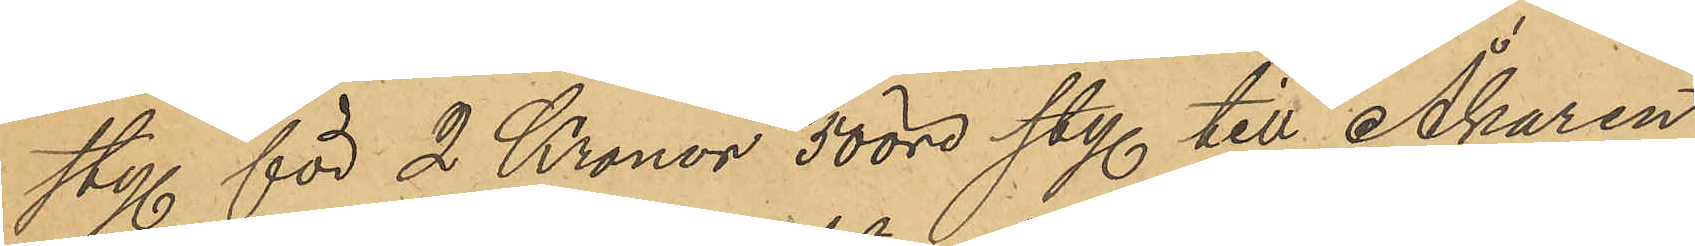sty. för 2 Kronor 50 öre sty. till Åkaren
